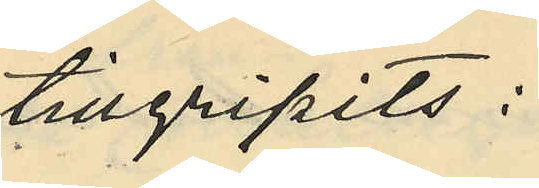tillgripits:
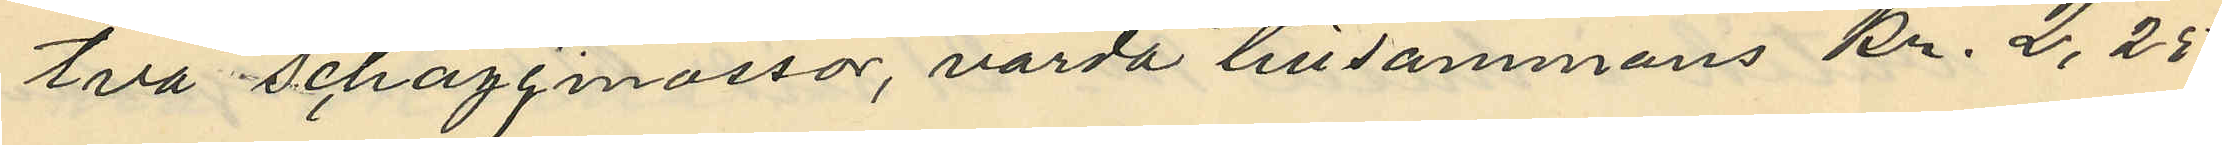två schazijmössor, värda tillsammans kr. 2,25
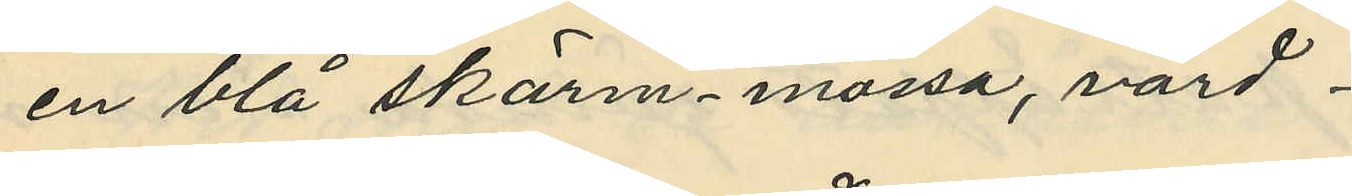en blå skärmmössa, värd
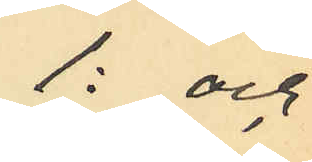1: och
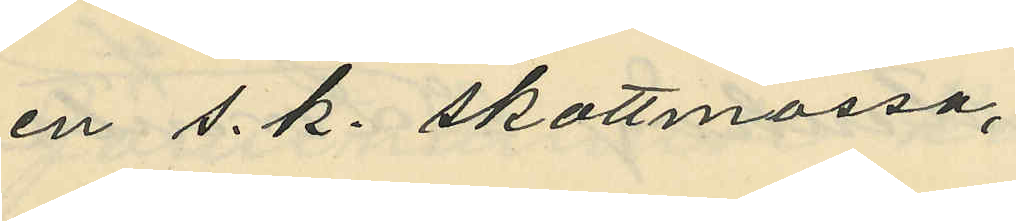en s. k. skottmössa,
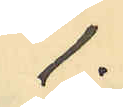1:
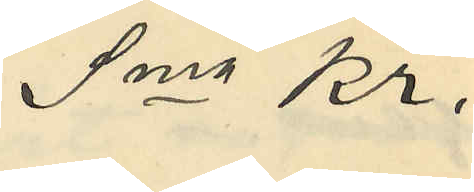Sma kr.
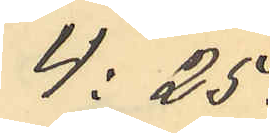4:25.
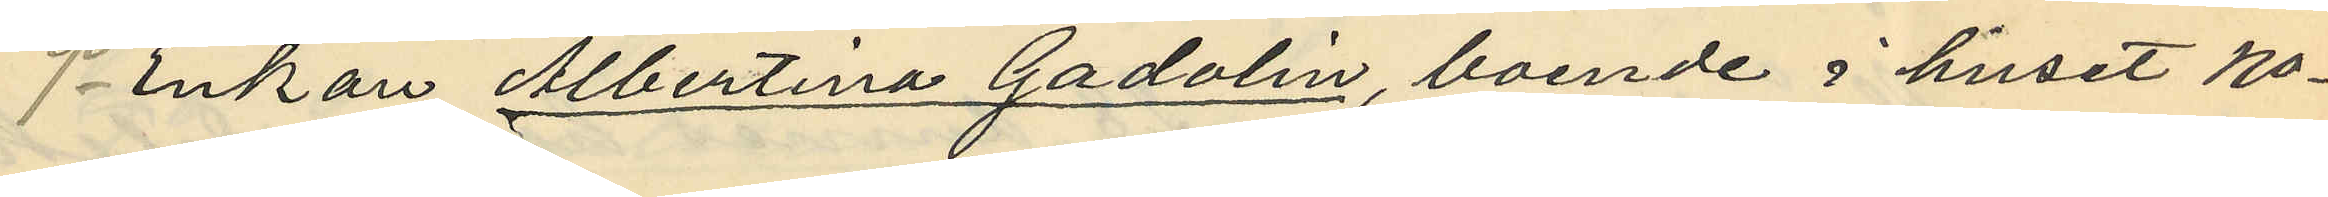9o Enkan Albertina Gadolin, boende i huset No
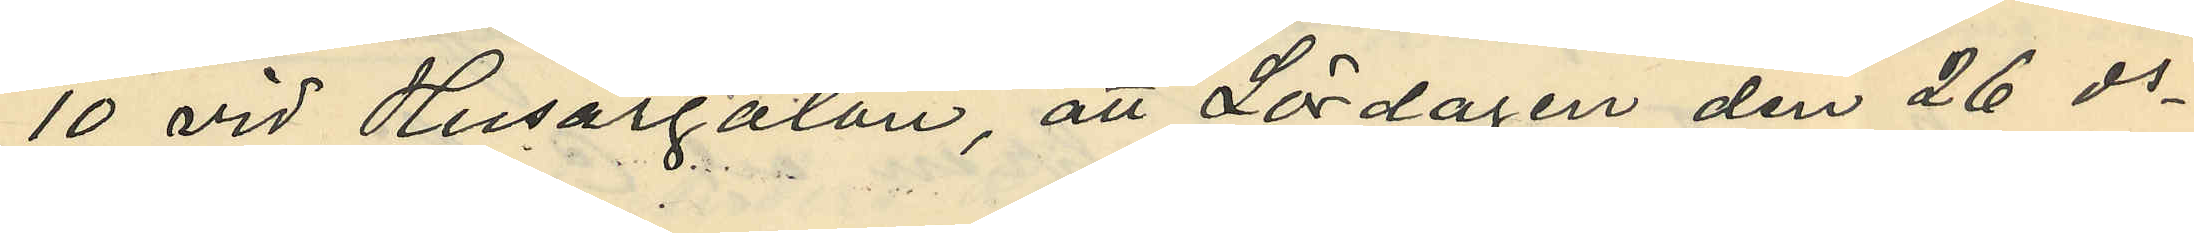10 vid Husargatan, att Lördagen den 26 ds
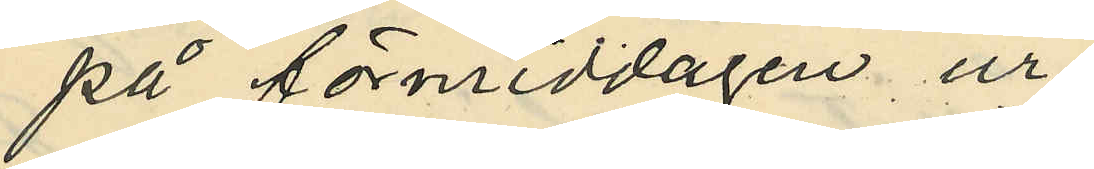på förmiddagen, ur
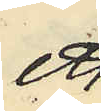ett
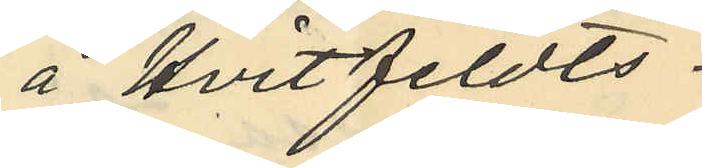å Hvitfeldts¬
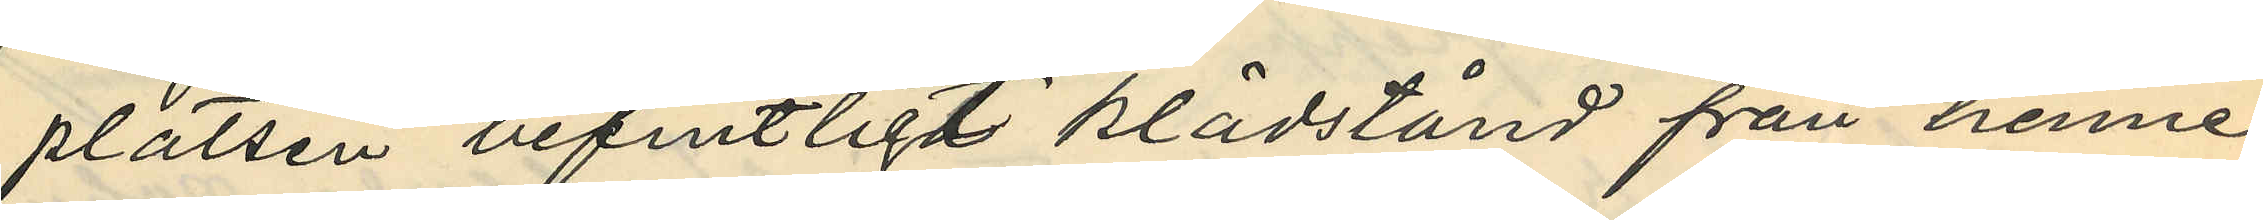platsen befintligt klädstånd från henne
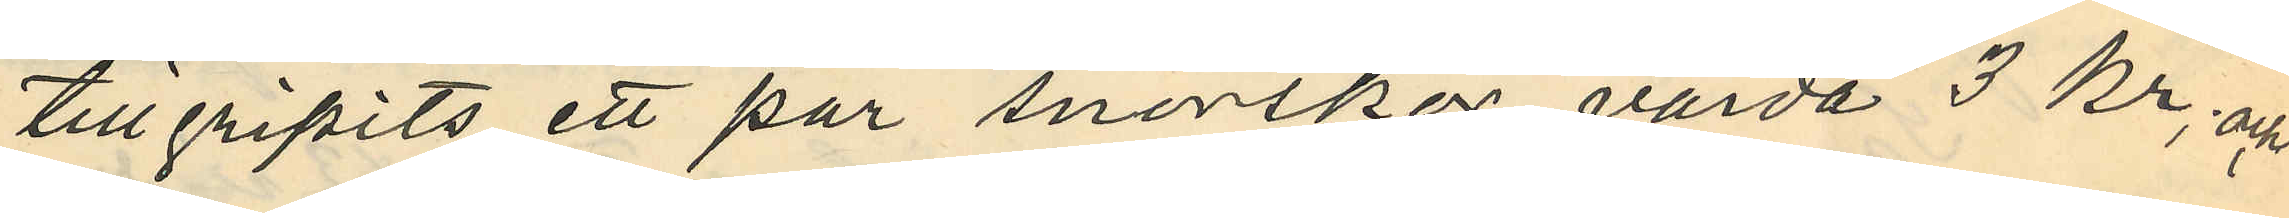tillgripits ett par snörskor, värda 3 kr; och
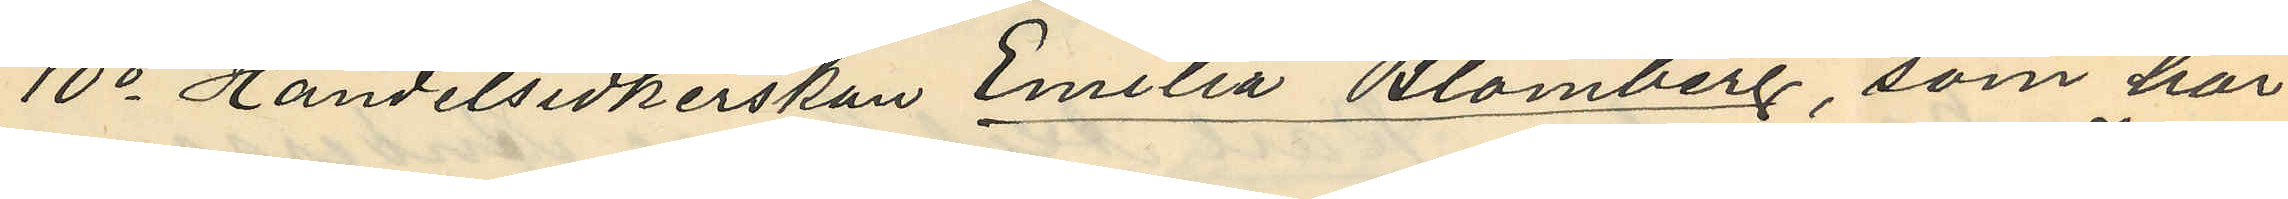10o Handelsidkerskan Emilia Blomberg, som har
